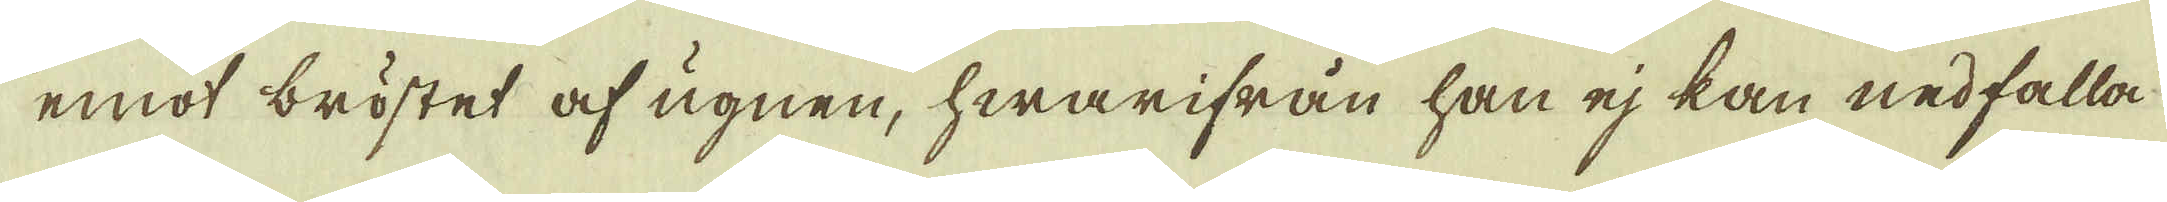emot bröstet af ugnen, hwarifrån han ej kan nedfalla
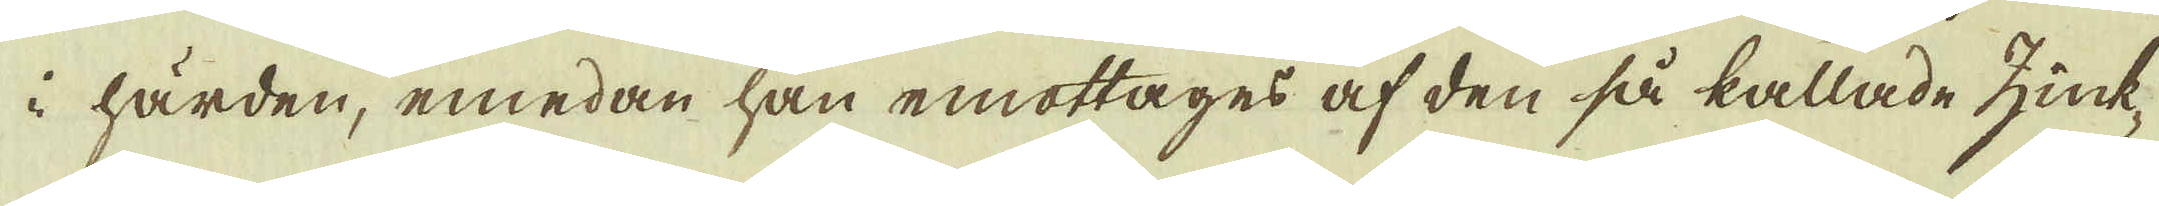i härden, emedan han emottages af den så kallade zink-
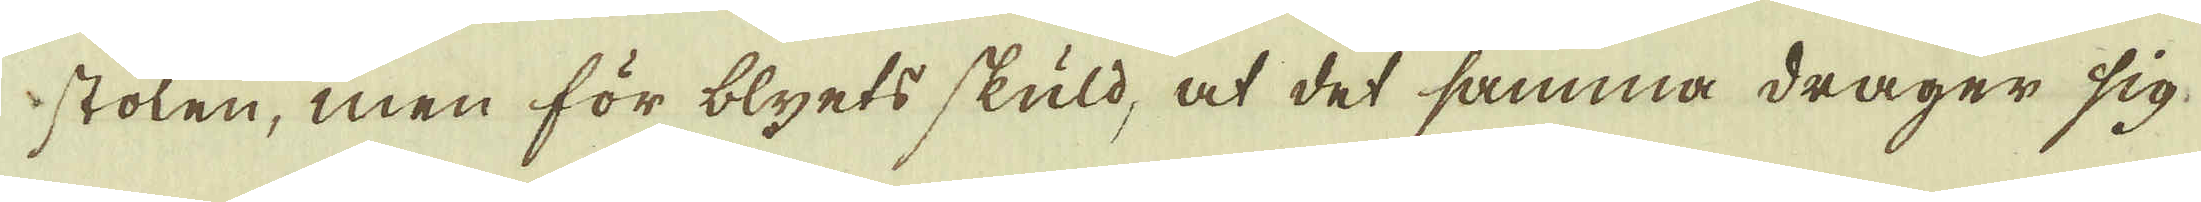stolen, men för blyets skuld, at det samma drager sig
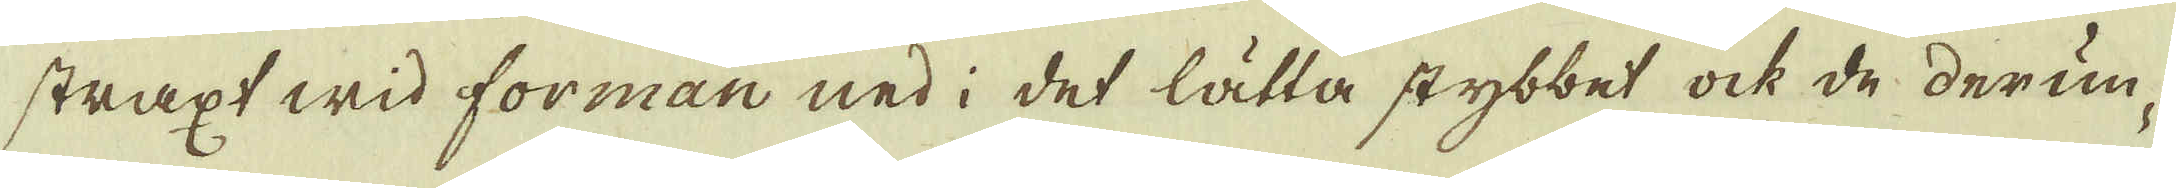straxt wid forman ned i det lätta stybbet ock de derun-
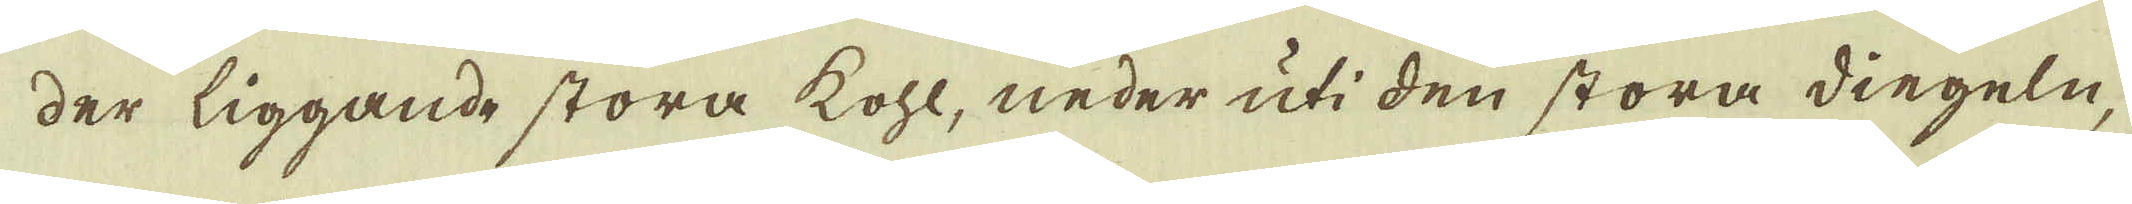der liggande stora kohl, neder uti den stora diegeln,
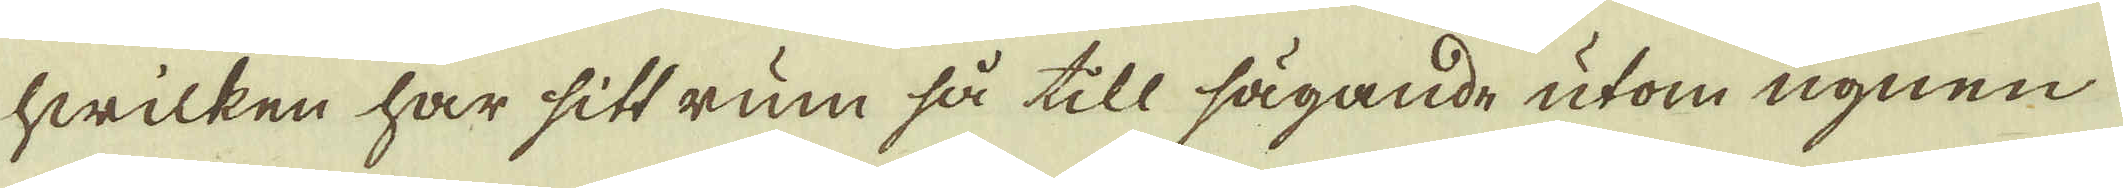hwilken har sitt rum så till sägande utom ugnen
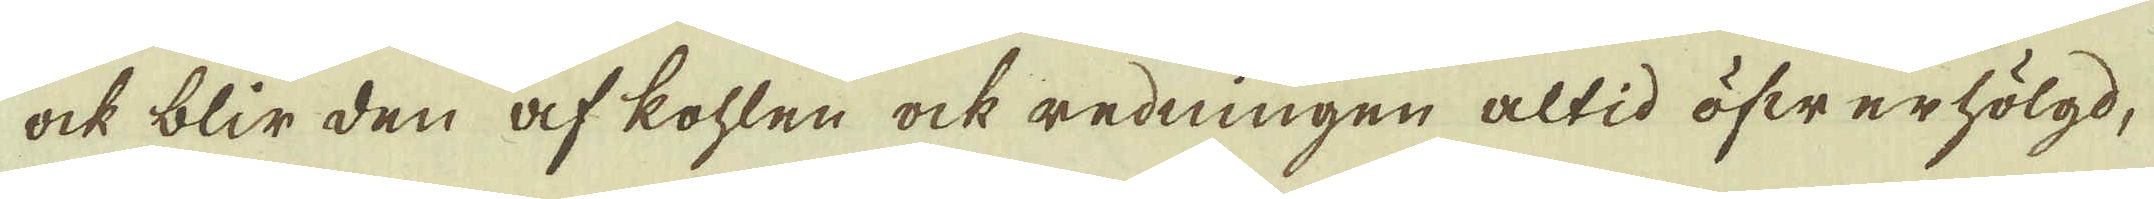ock blir den af kohlen ock redningen altid öfwerhölgd,
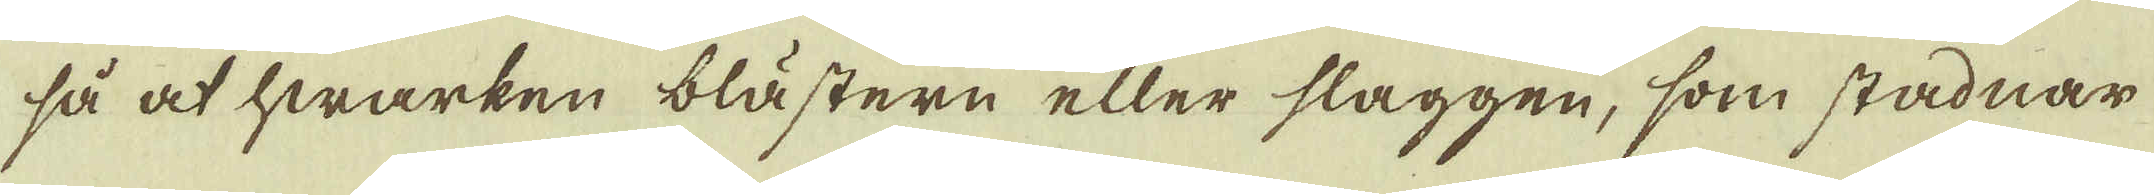så at hwarken blästern eller slaggen, som stadnar
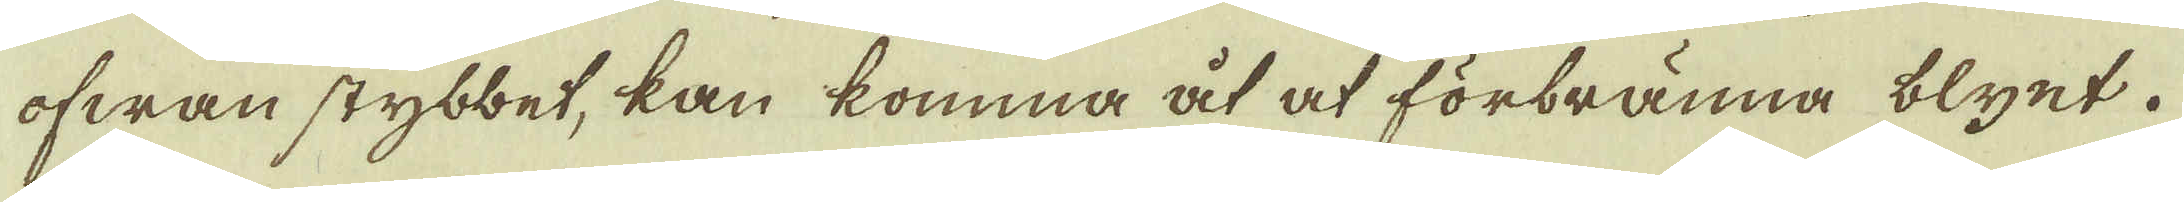ofwan stybbet, kan komma åt at förbränna blyet.
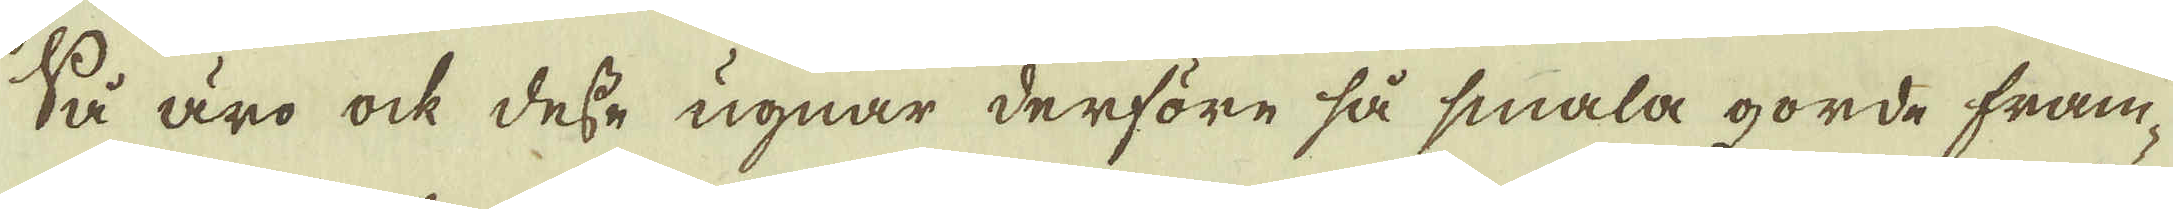Så äro ock desse ugnar derföre så smala gorde fram-
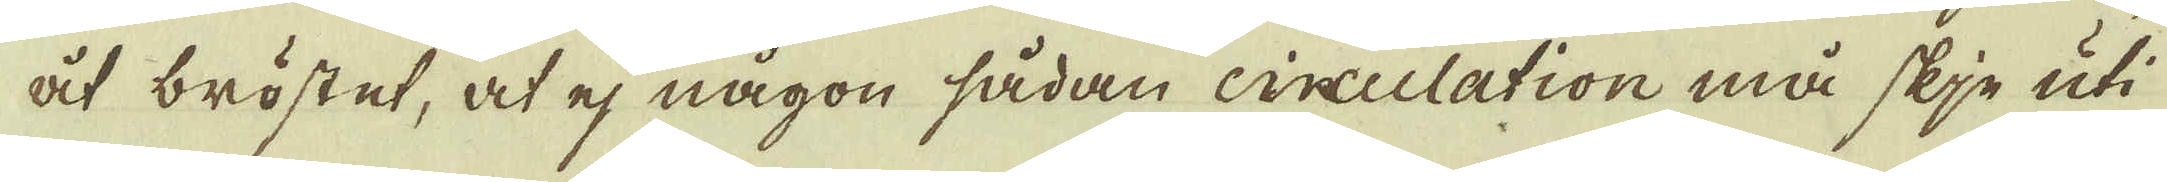åt bröstet, at ej någon sådan circulation må skje uti
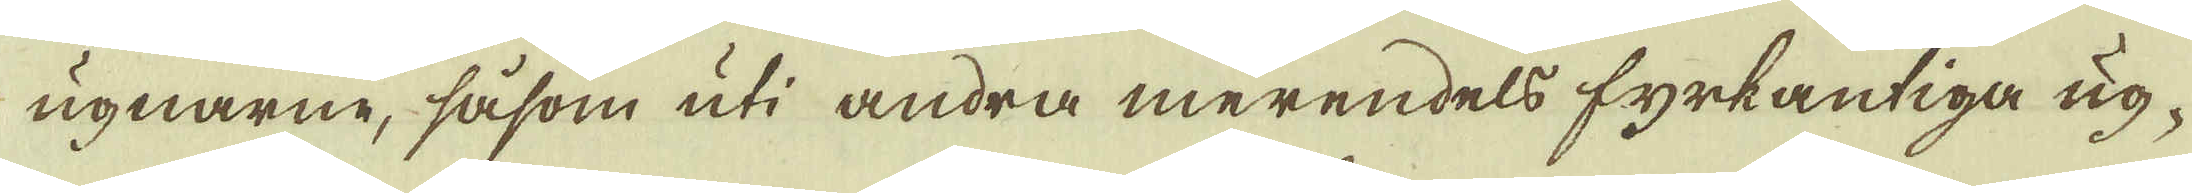ugnarne, såsom uti andra merendels fyrkantiga ug-
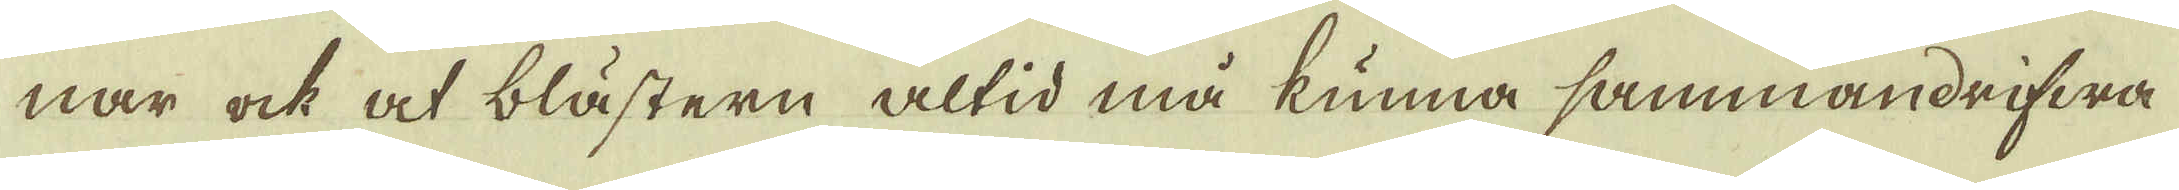nar ock at blästern altid må kunna sammandrifwa
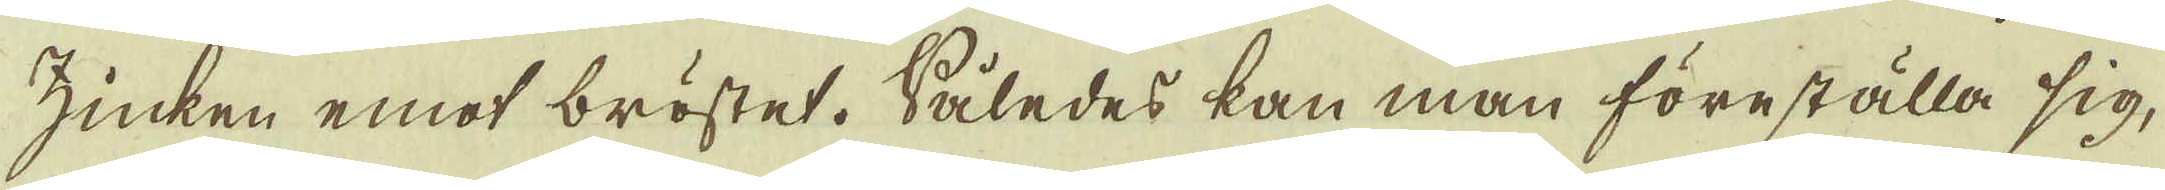zinken emot bröstet. Således kan man föreställa sig,
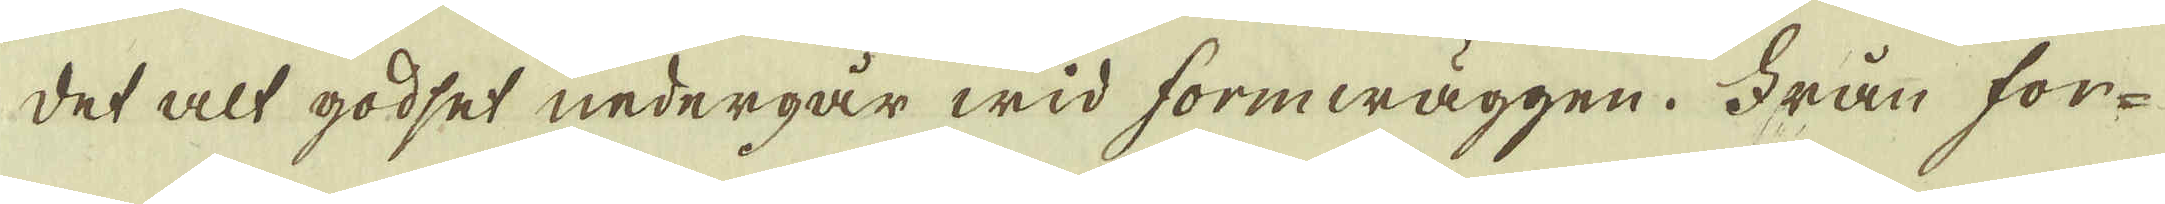det alt godset nedergår wid formwäggen. Från for-
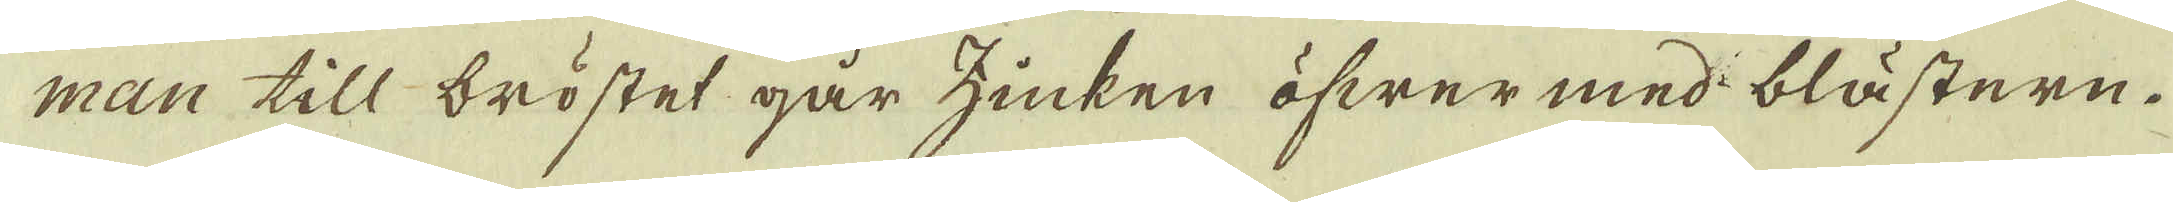man till bröstet går zinken öfwer med blästern.
